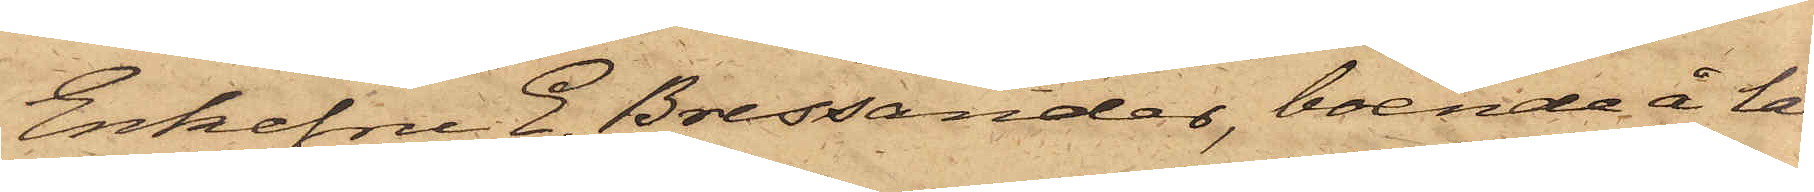Enkefru E. Bressander, boende å lä¬
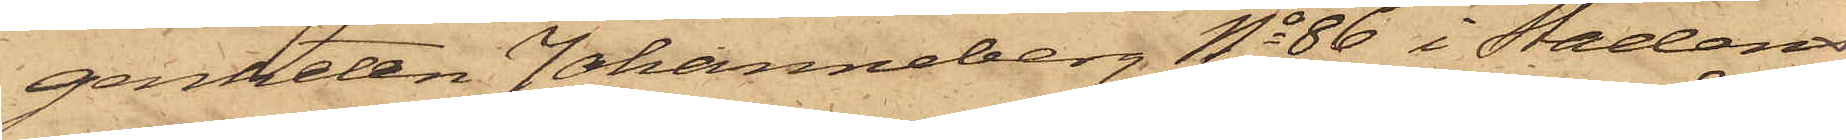genheten Johanneberg No 86 i Stadens
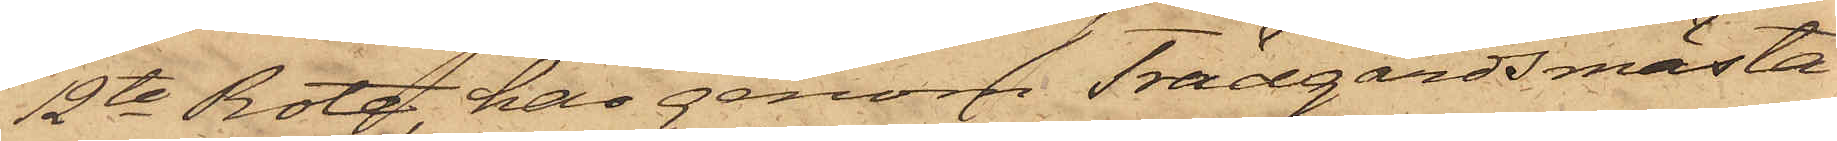12te Rote, har genom Trädgårdsmästa¬
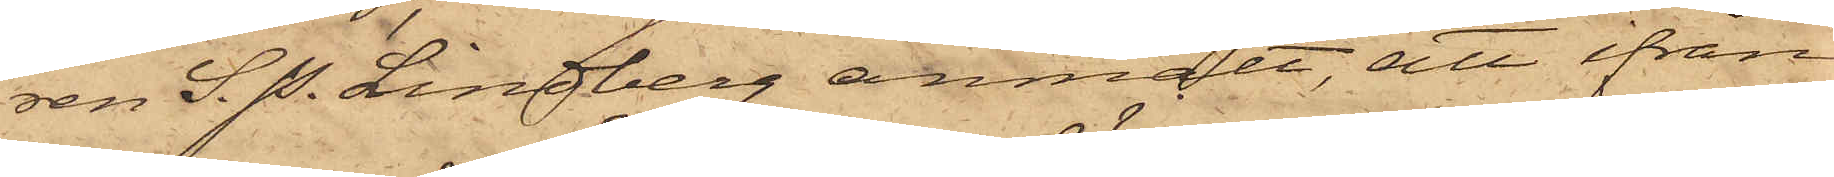ren S. P. Lindberg anmält, att ifrån
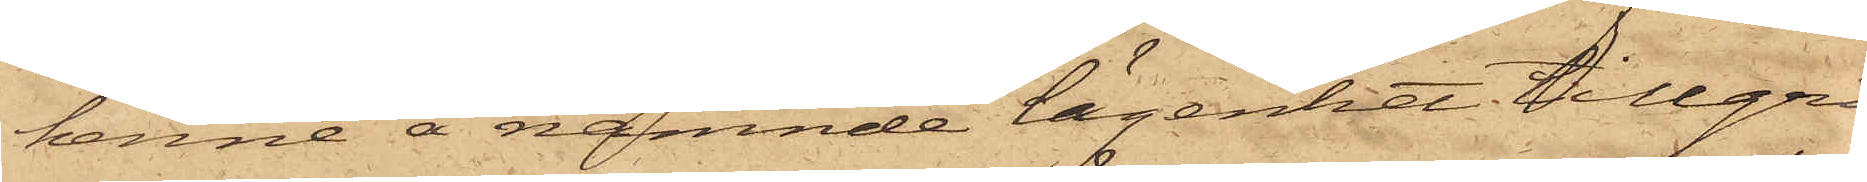henne å nämnde lägenhet tillgri¬
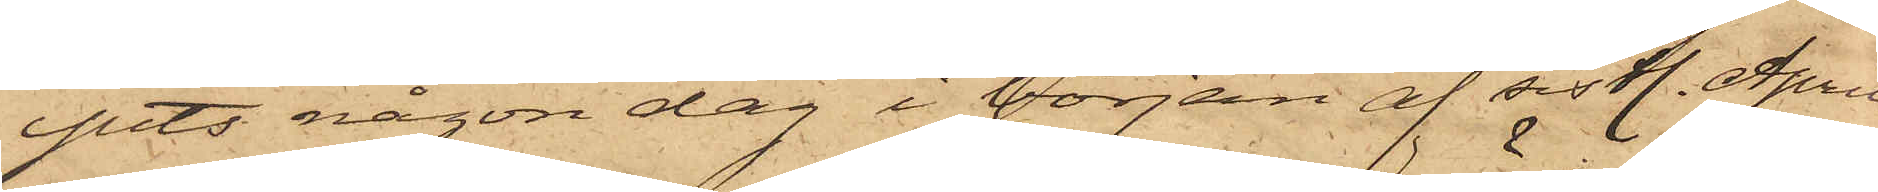pits någon dag i början af sistl. April
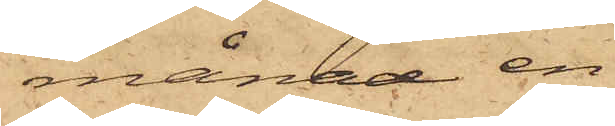månad en
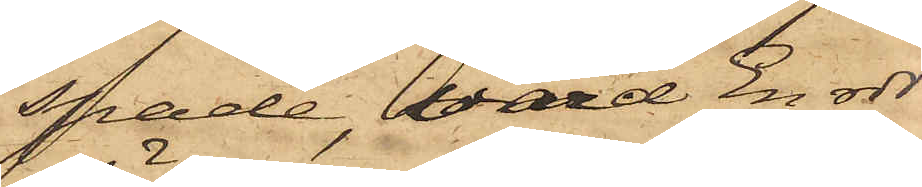spade, värd En rdr,
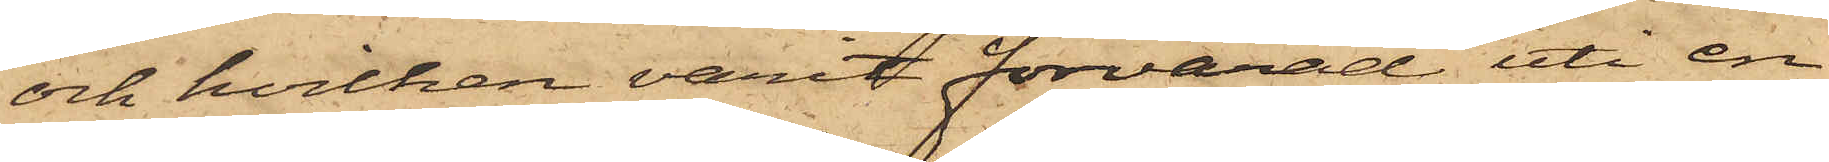och hvilken varit förvarad uti en
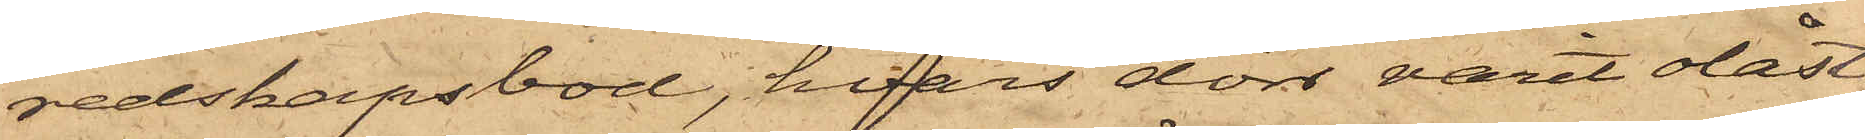redskapsbod, hvars dörr varit olåst,
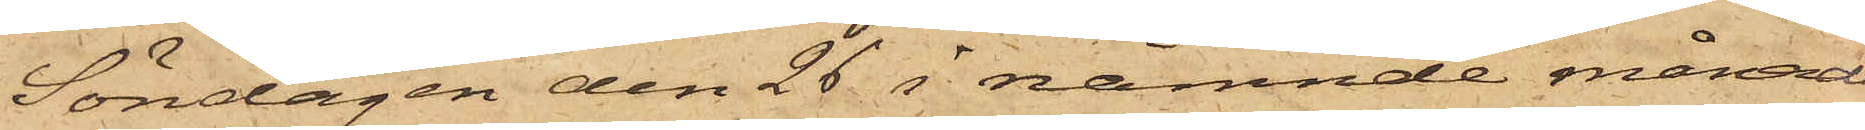Söndagen den 26 i nämnde månad
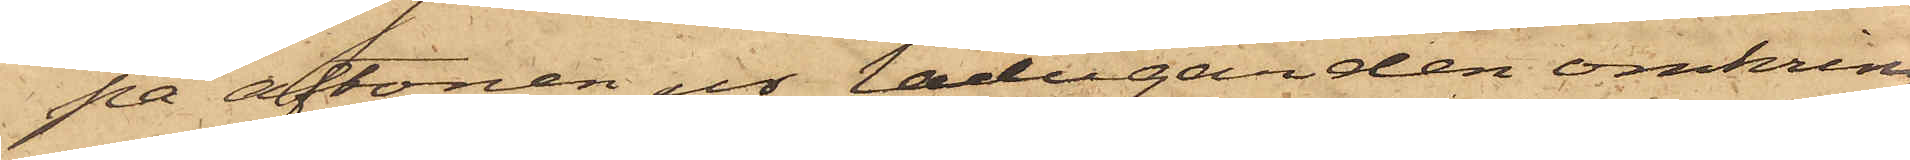på aftonen ur ladugården omkring
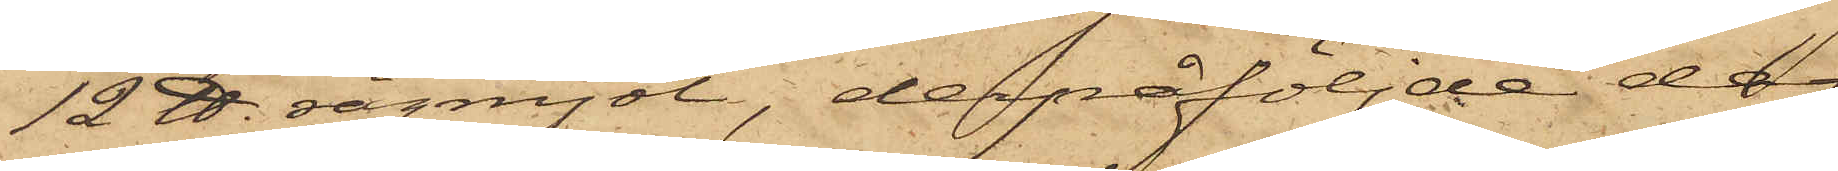12 ℔. rågmjöl, derpåföljde dag
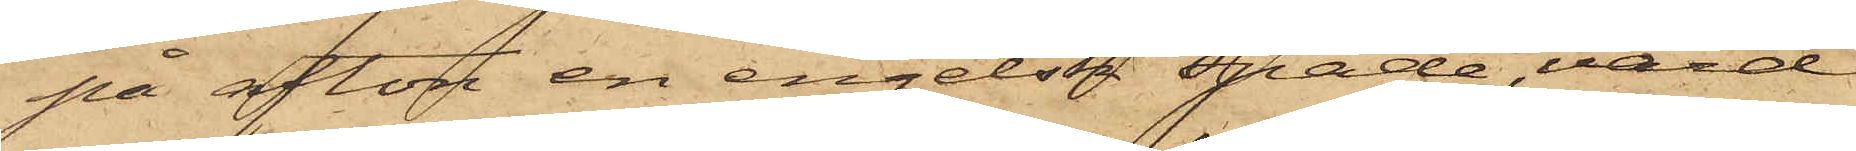på afton en engelsk spade, värd
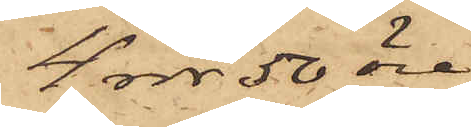4 rdr 50 öre
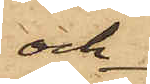och
